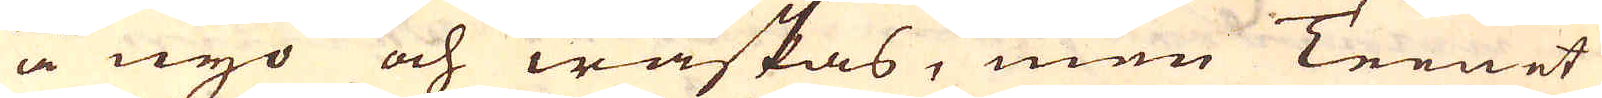å nyo och waskas, men Teenet
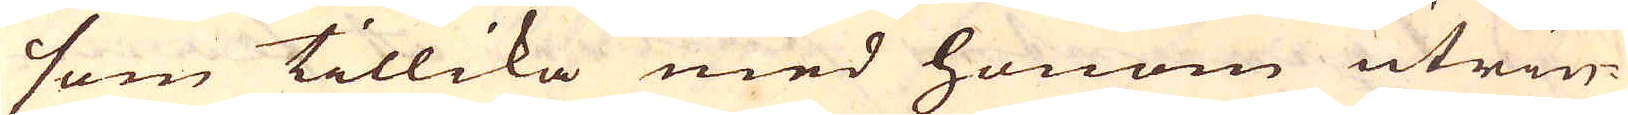som tillika med honom utrin-
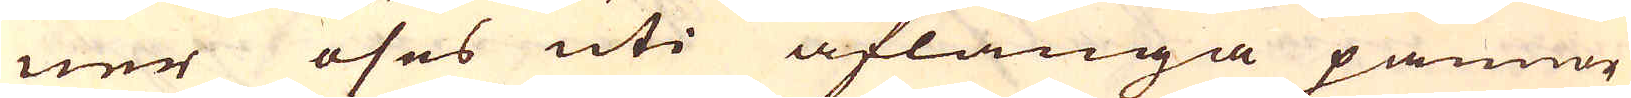ner öses uti aflånga pannor
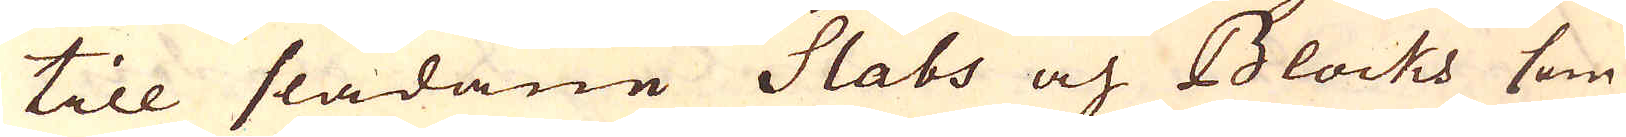till slådane Slabs och Blocks som
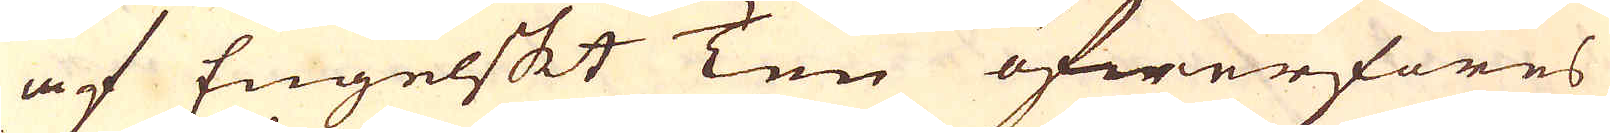af Engelskt Ten öfwerföres
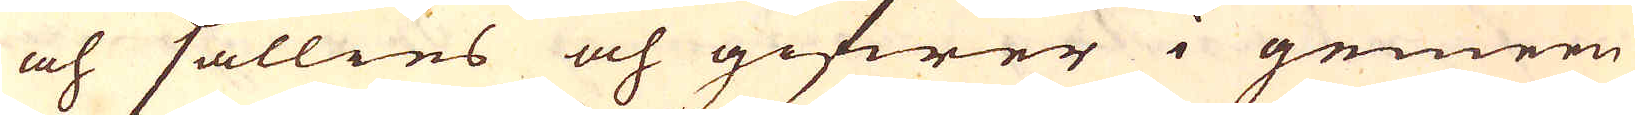och sällies och gifwer i gemen
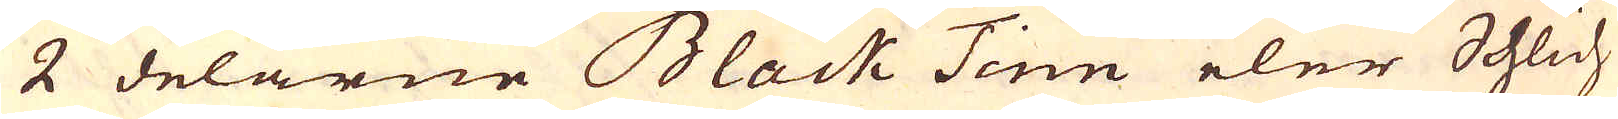2 delarne Black Tinn eler Schlich
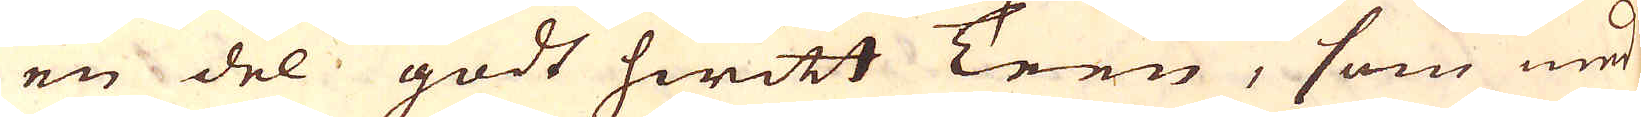en del godt hwitt Teen, som med
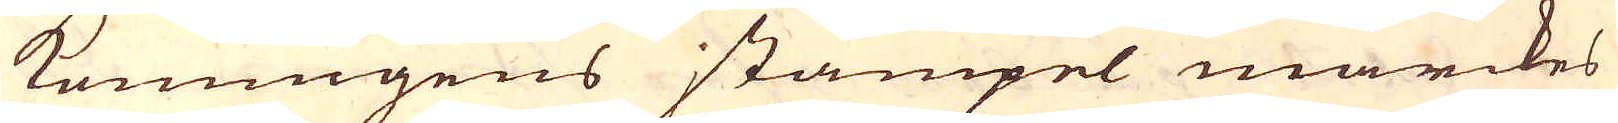konungens stämpel märckes
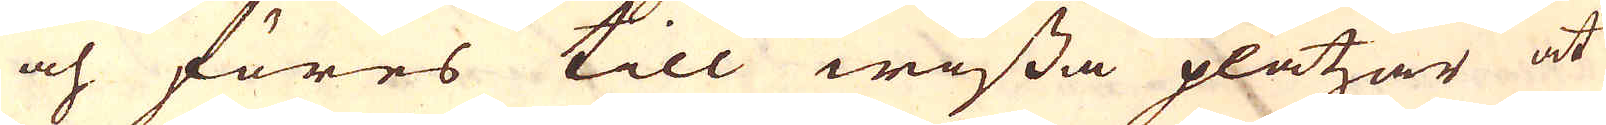och föres till wissa platzer at
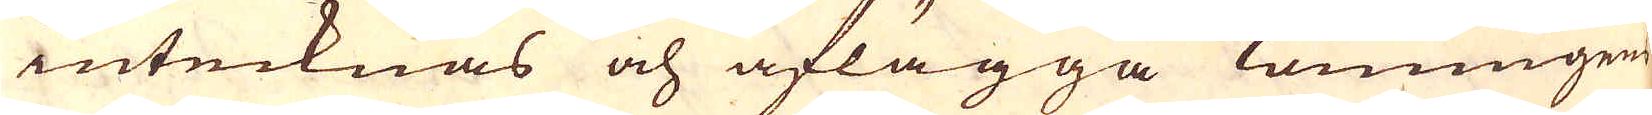intecknas och aflägga Konungen
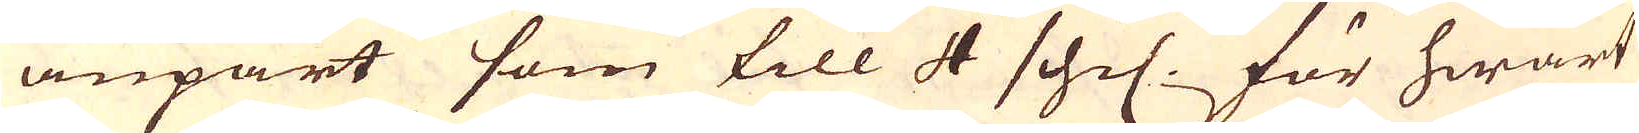anpart som till 4 schil. för hwart
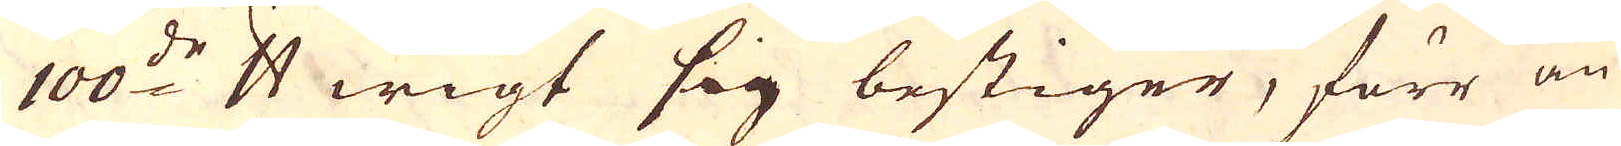100:de skålpund wigt sig bestiger, förr än
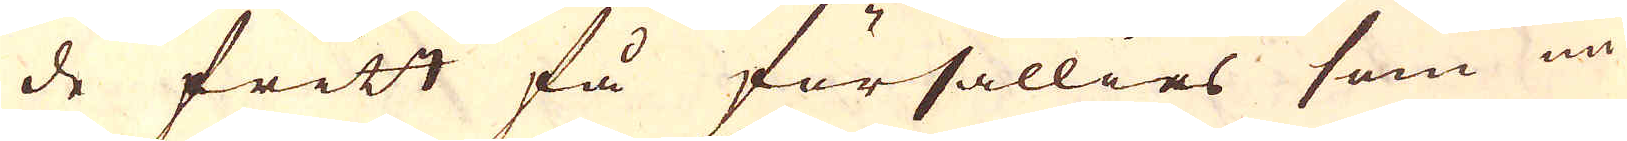de fritt få försällies som nu
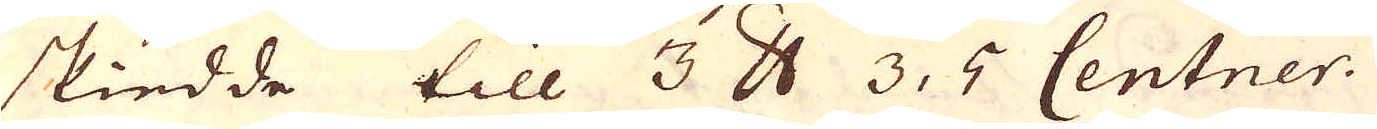skiedde till 3 skålpund 3, 5 Centner.
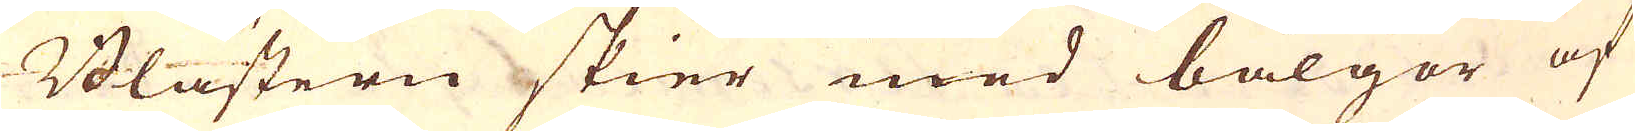Blästern skier med bälgor af
